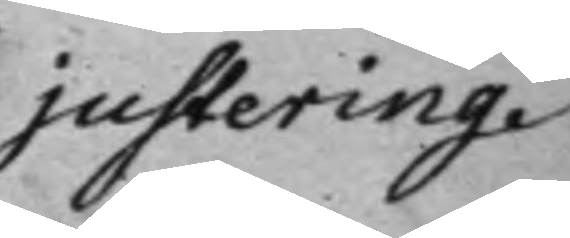justering.
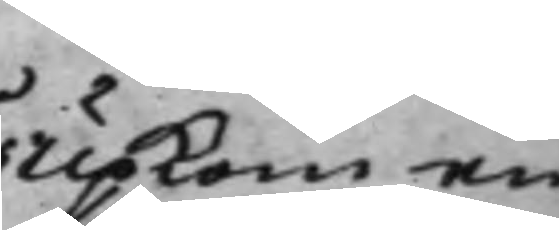Upkom en
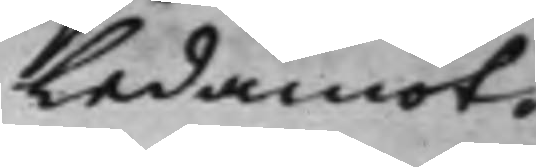Ledamot.
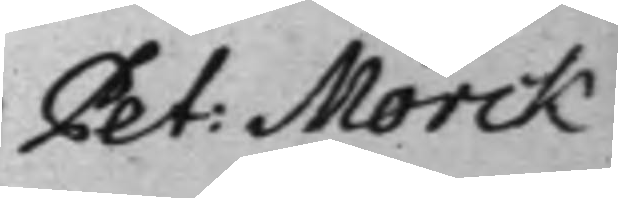Pet: Mörck
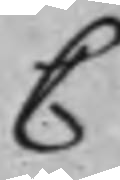C
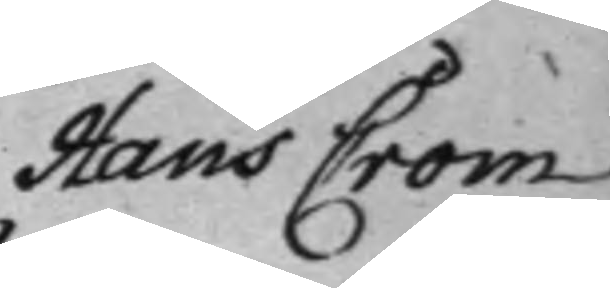Hans Crom
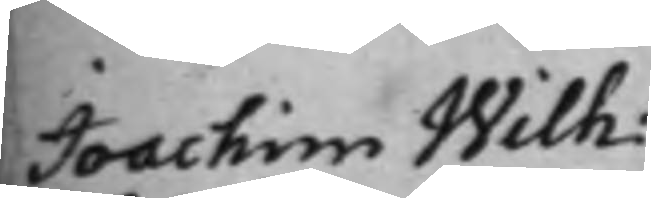Joachim Wilh: 
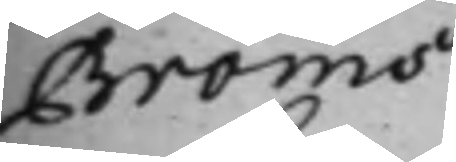Bröms
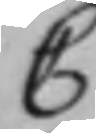C
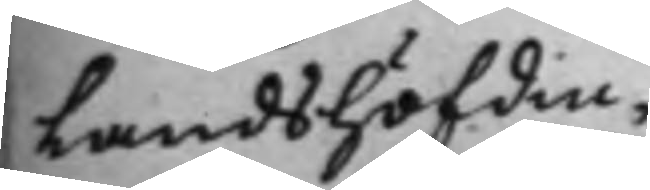Landshöfdin¬
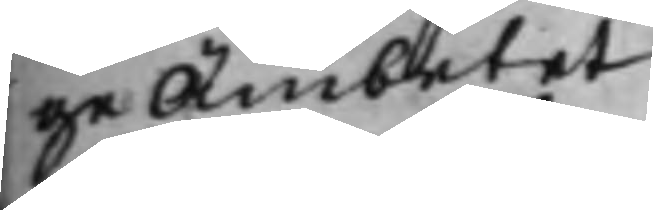ge Ämbetet
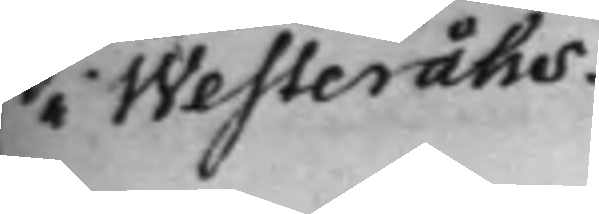i Westeråhs.
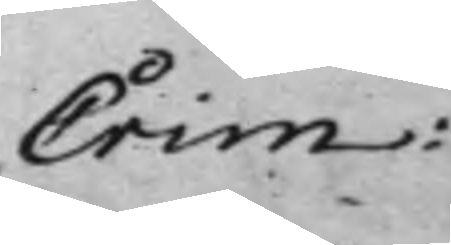Crim: 
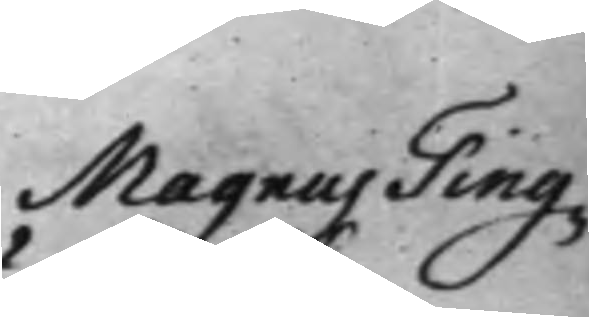Magnus Ting¬ 
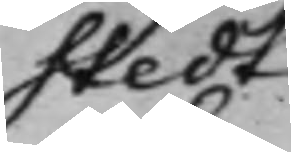stedt
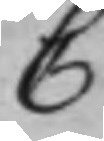C
